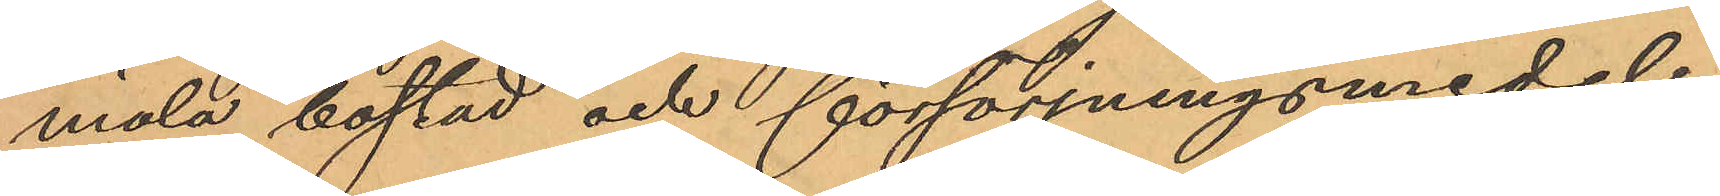mäla bostad och försörjningsmedel;
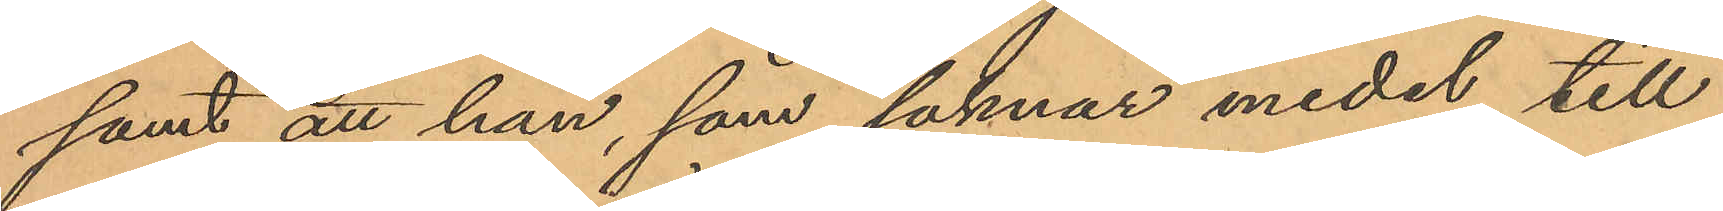samt att han, som saknar medel till
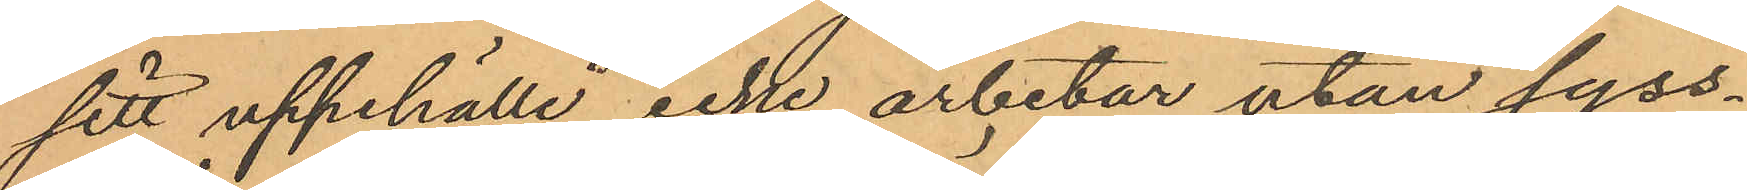sitt uppehälle icke arbetar utan syss¬
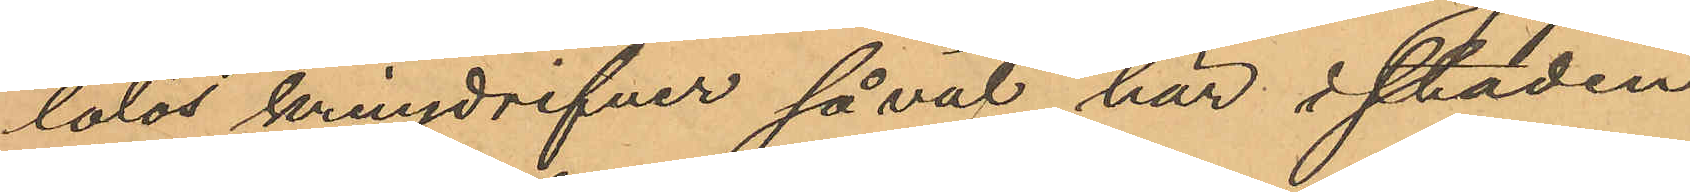lolös kringdrifver såväl här i staden
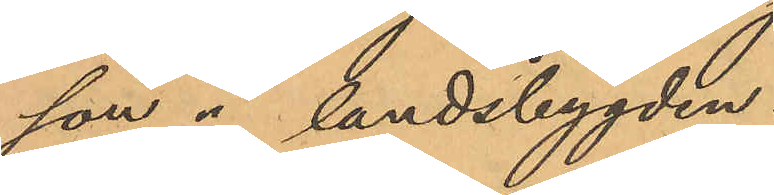son å landsbygden.
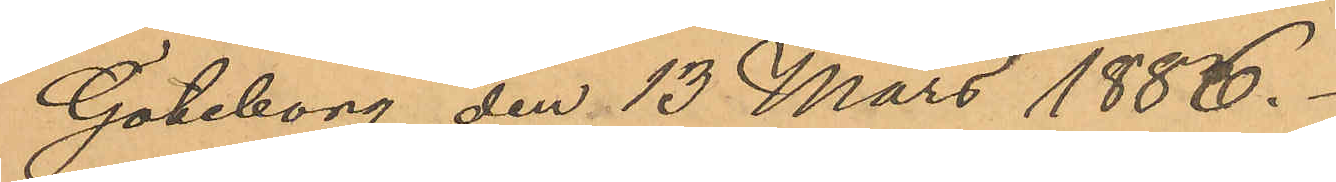Göteborg den 13 Mars 1886.
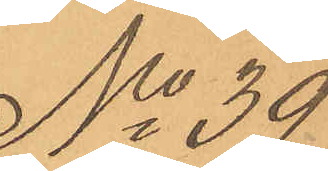No 39
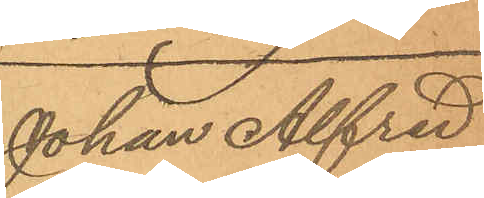Johan Alfred
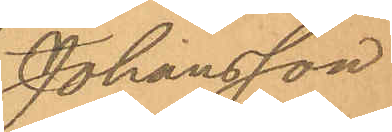Johansson
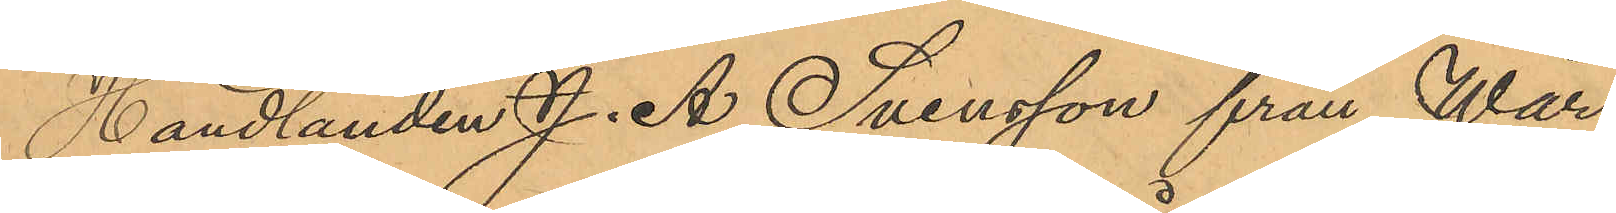Handlanden J. A. Svensson från Wår¬
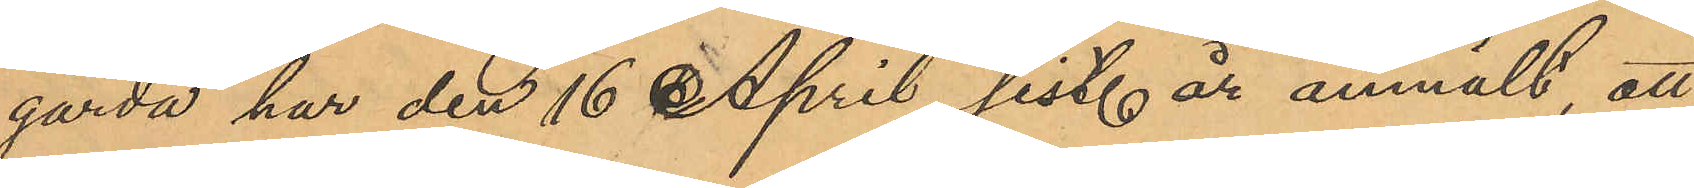gårda har den 16 April sist. år anmält, att
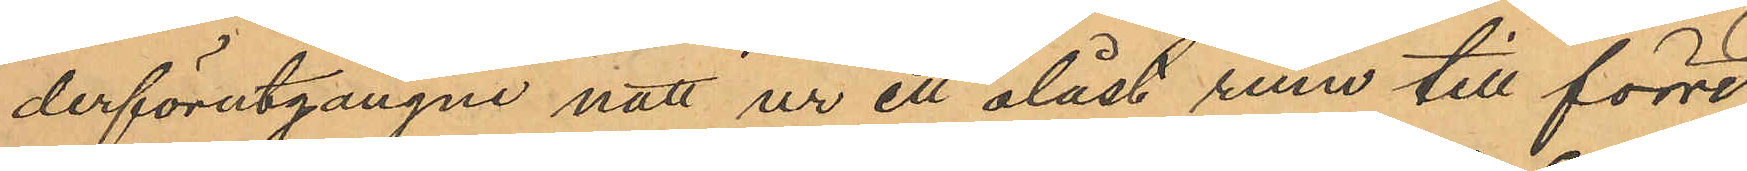derförutgångne natt ur ett olåst rum till förre
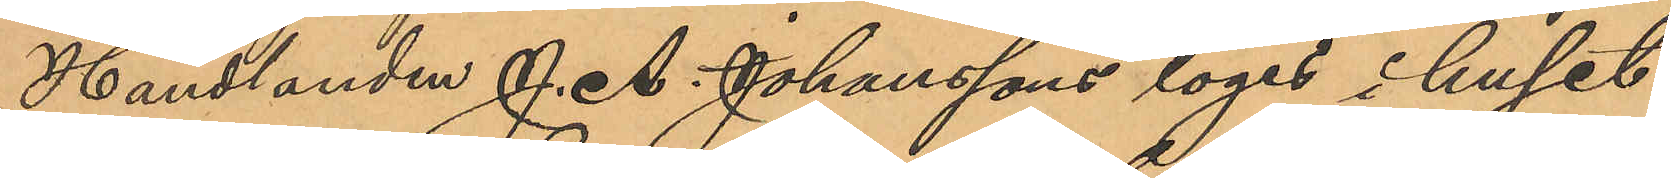Handlanden J. A. Johanssons logi i huset
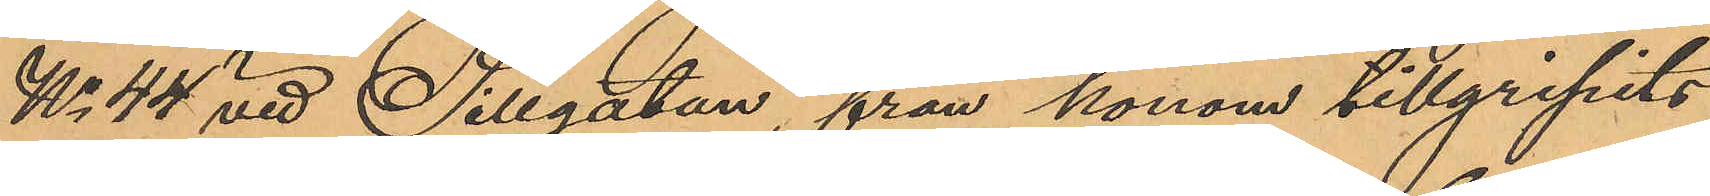No 44 vid Sillgatan, från honom tillgripits
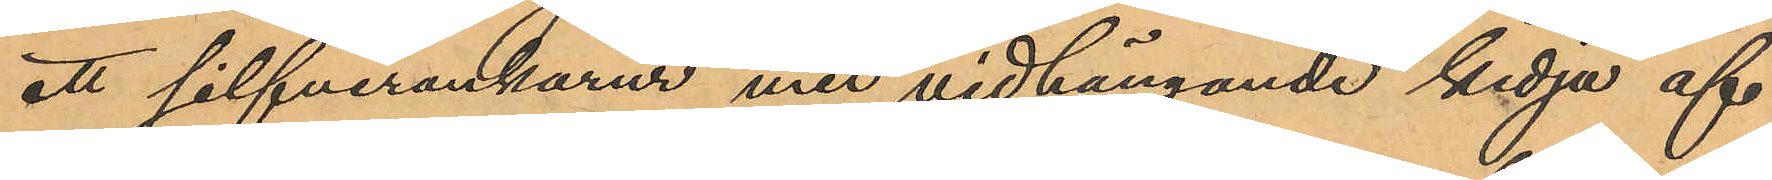ett silfverankarur med vidhängande kedja af
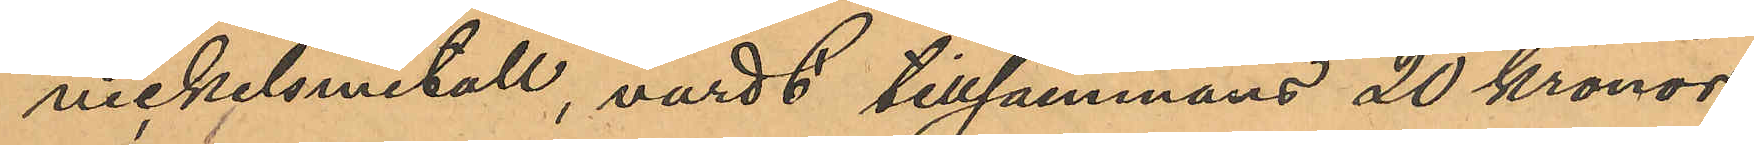nickelsmetall, värdt tillsammans 20 kronor;
